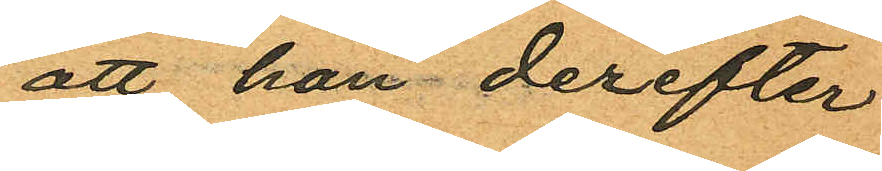att han derefter
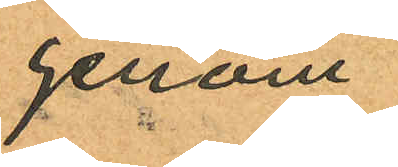genom
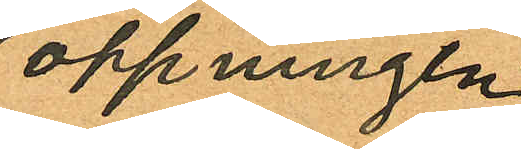öppningen
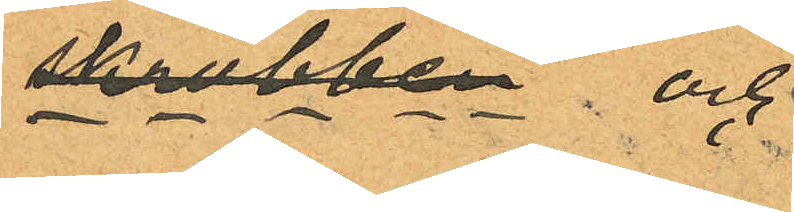skrubben och
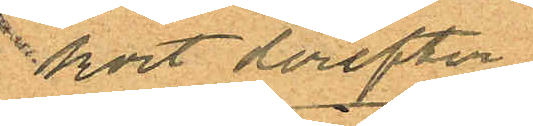kort derefter
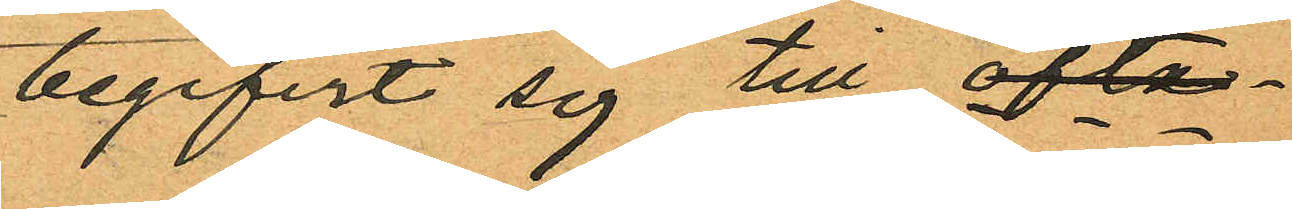begifvit sig till ofta¬
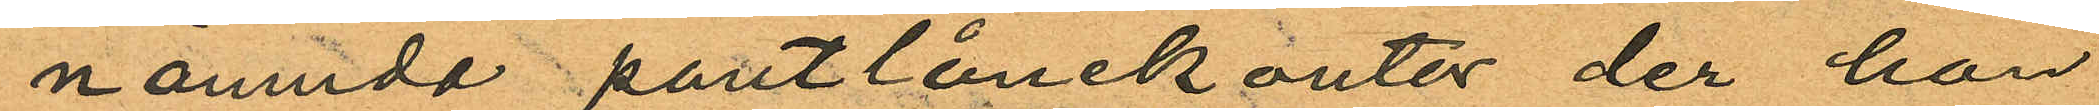nämnda pantlånekontor, der han
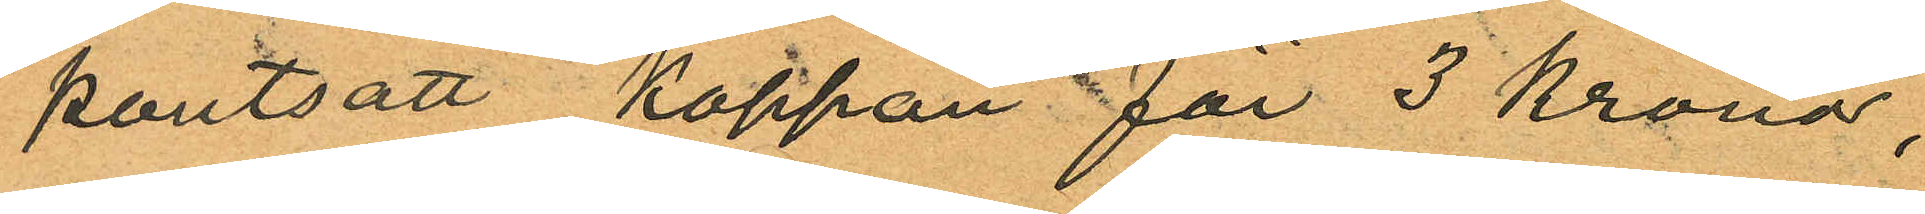pantsatt kappan för 3 kronor,
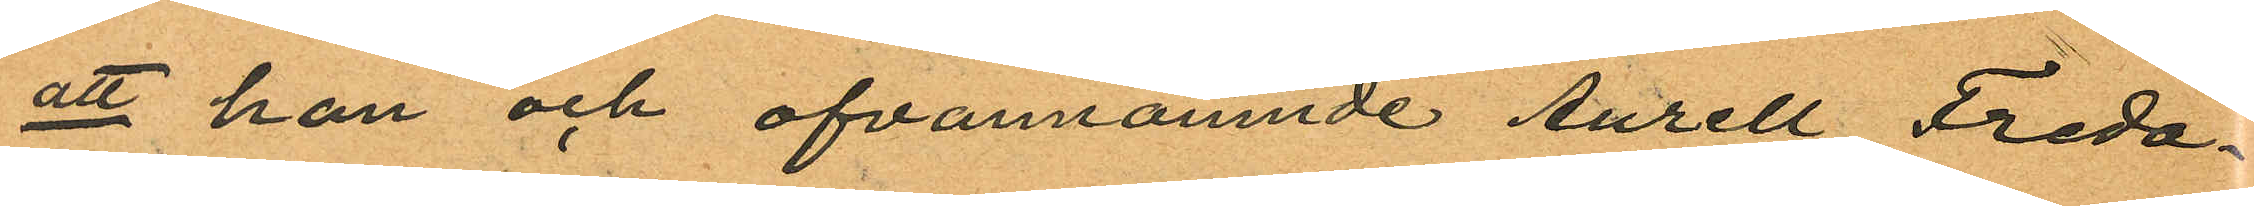att han och ofvannämnde Aurell Freda¬
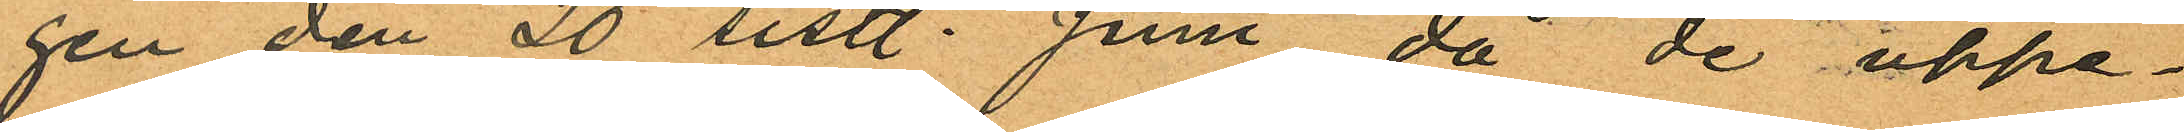gen den 20 sistl. Juni då de uppe¬
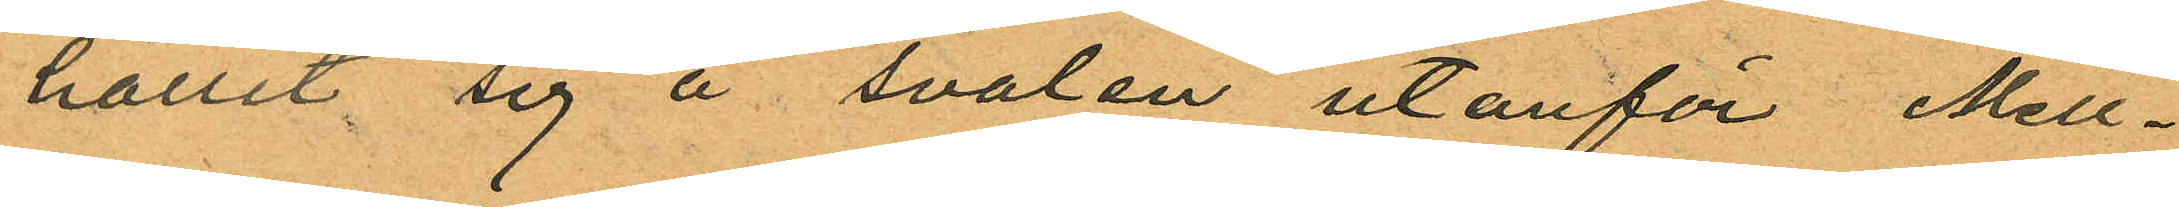hållit sig å svalen utanför Mell¬
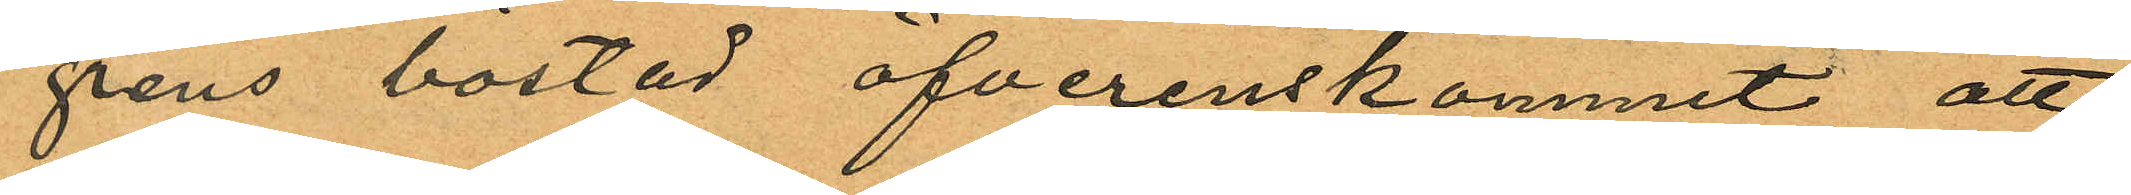grens bostad öfverenskommit att
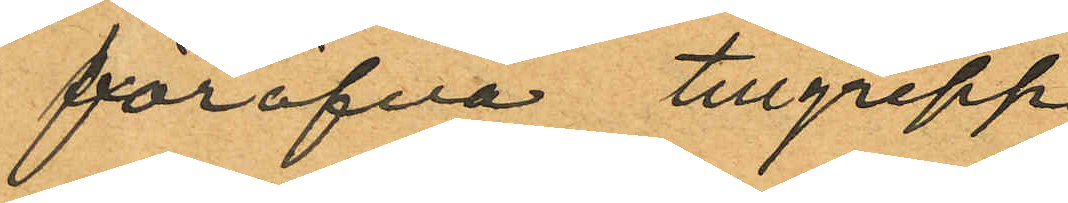föröfva tillgrepp
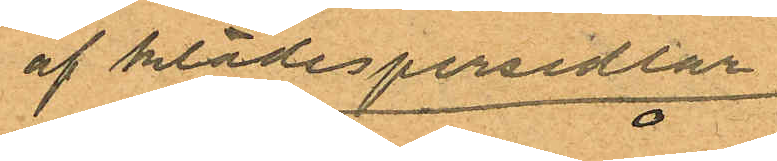af klädespersedlar
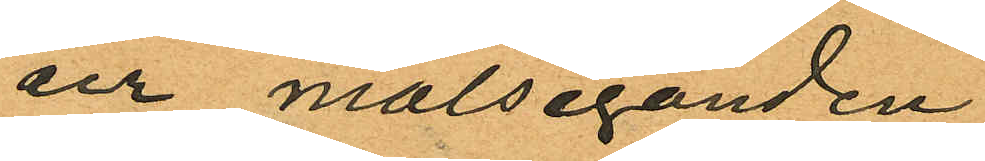ur målseganden
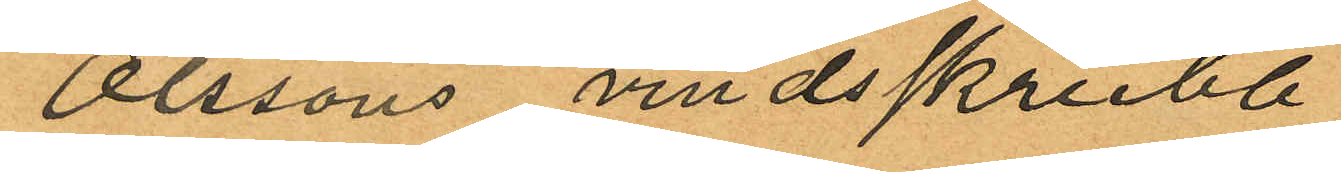Olssons vindsskrubb,
